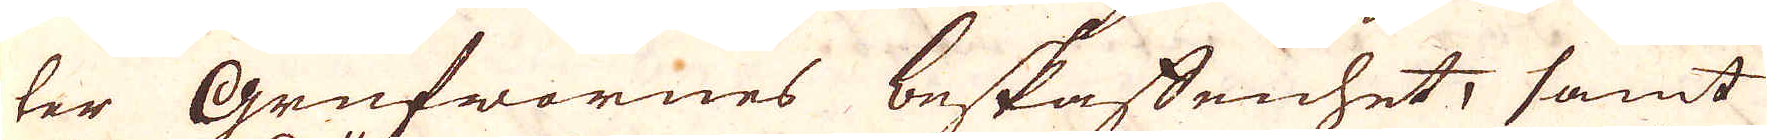ter Grufwornes beskaffenhet, samt
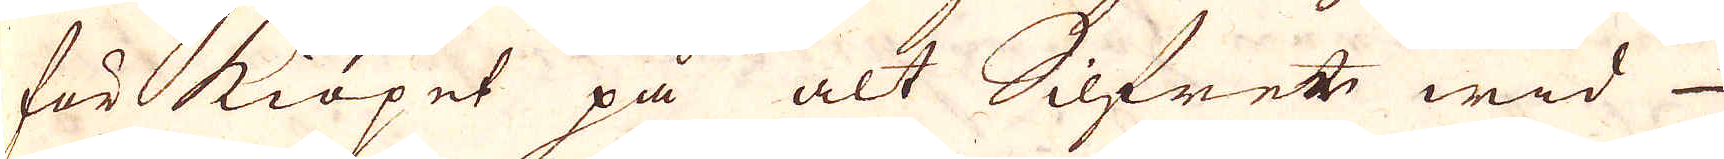för kiöpet på alt Silfret wid 
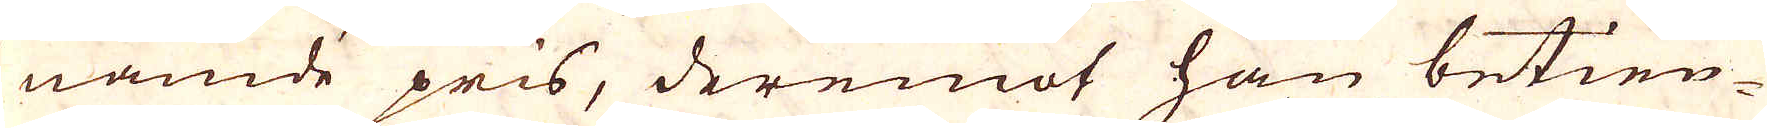nämde pris, deremot han betien-
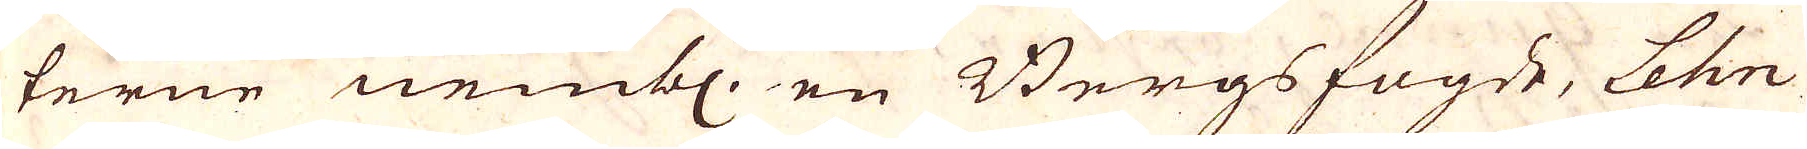terne nembl. en Bergsfogde, Lehn-
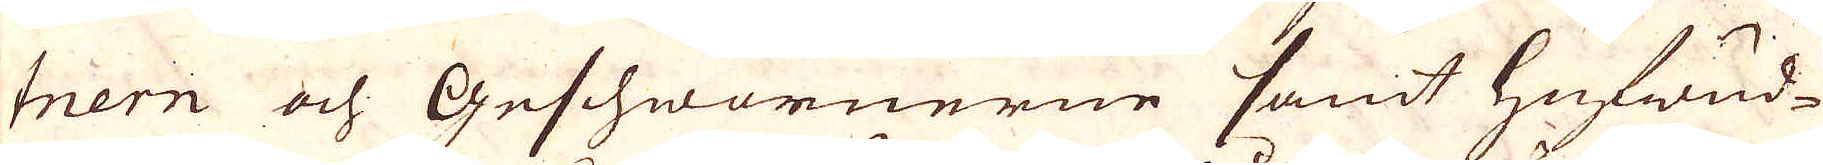tnern och Geschwornerne samt hufwud-
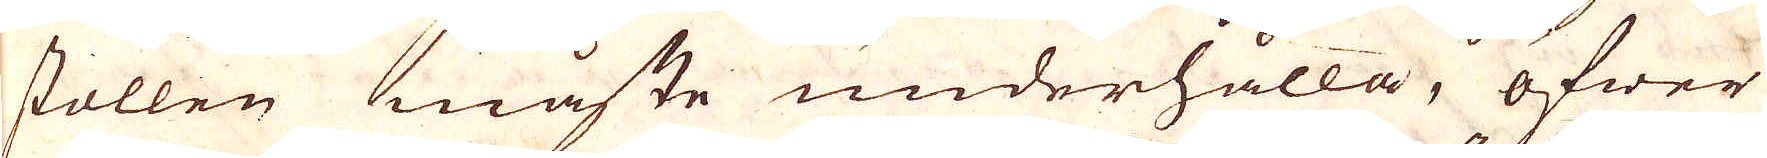stollen måste underhålla, öfwer
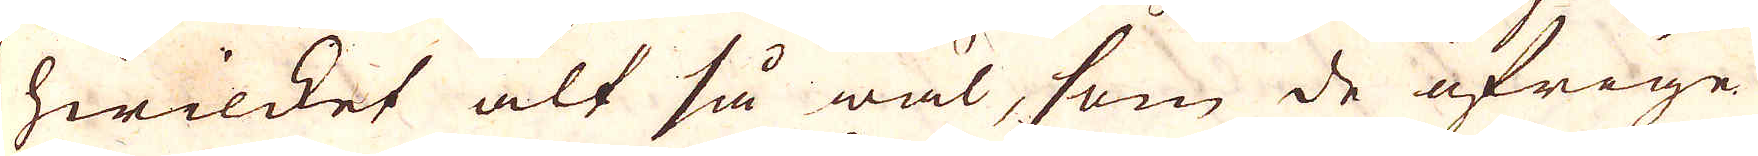hwilket alt så wäl, som de öfrige
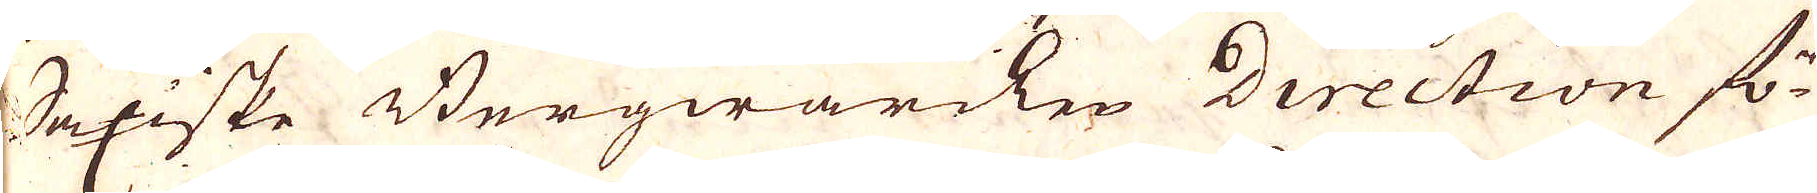Saxiske Bergwärcken Direction fö-
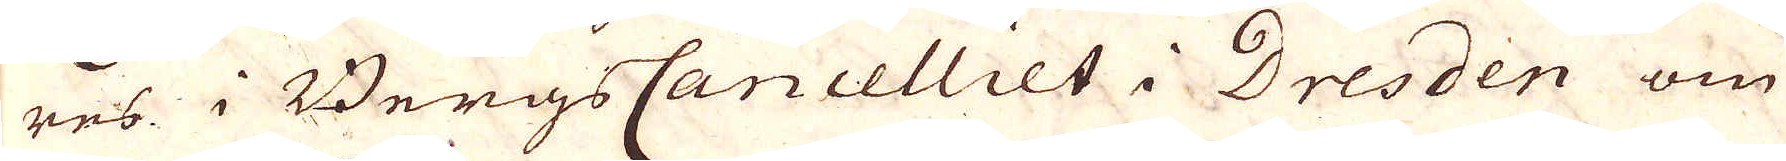res i BergsCancelliet i Dresden om
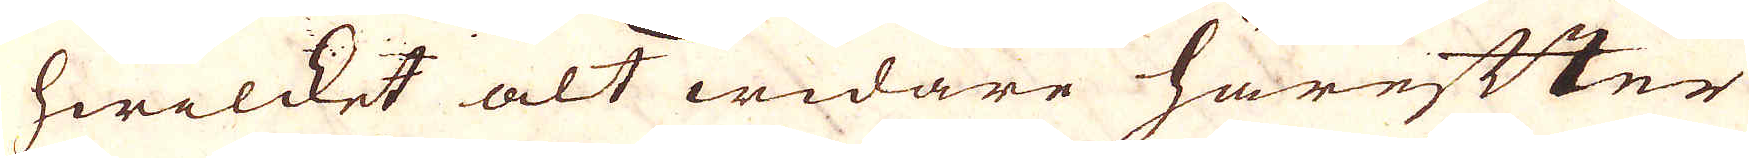hwilcket alt widare härefter
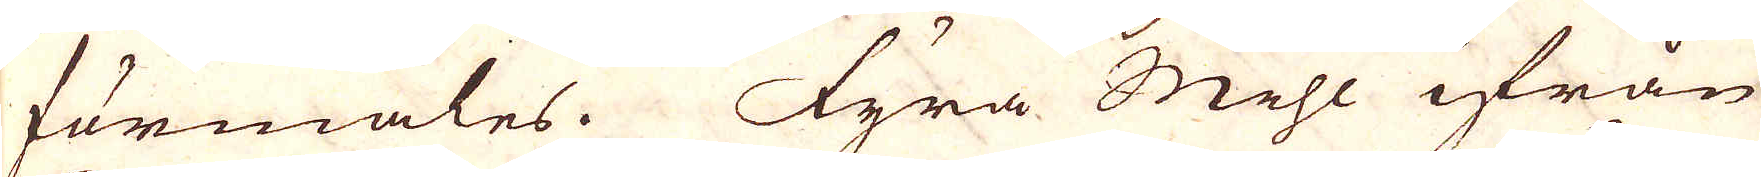förmäles. Fyra Mihl ifrån
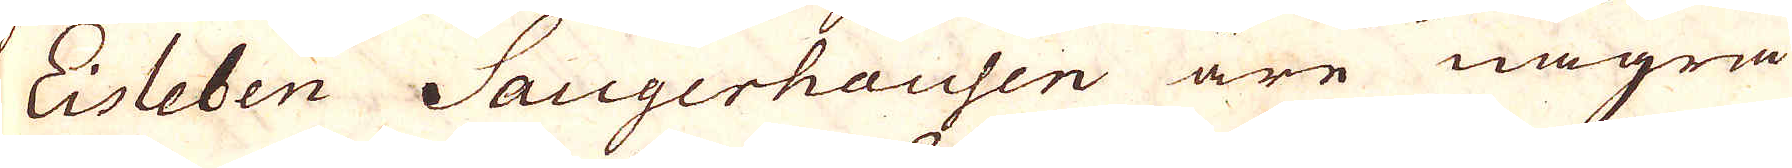Eisleben Saugerhausen äre några
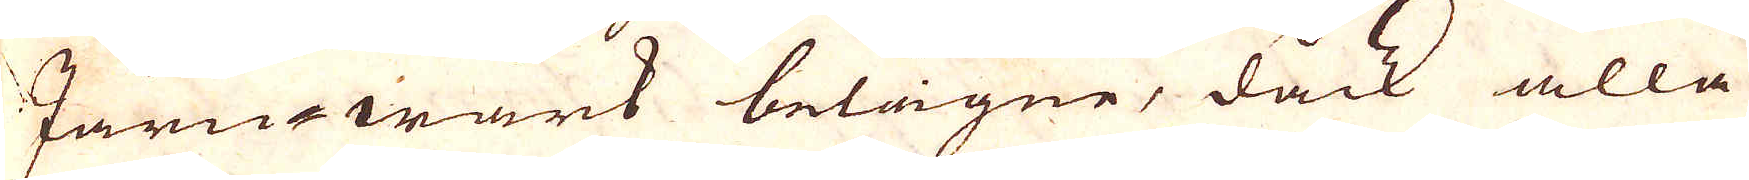Järn-wärck belägne, dock alla
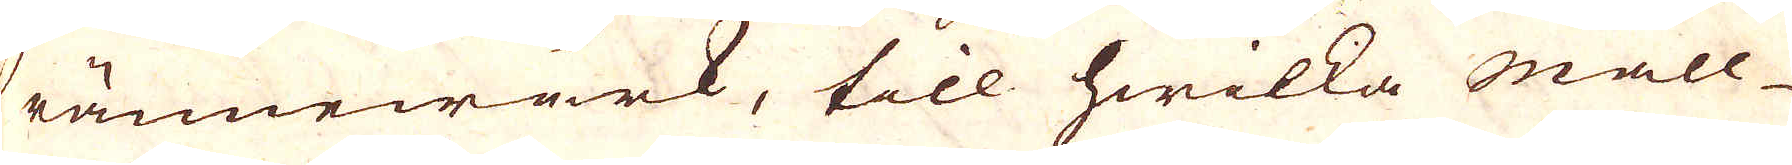rännewärk, till hwilka mall-
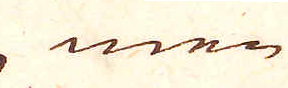men
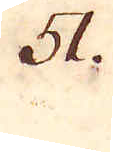51.
